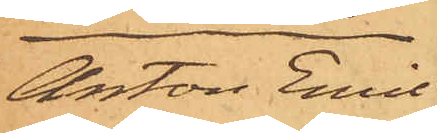Anton Emil
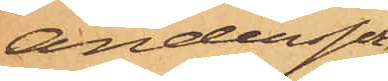Andersson,
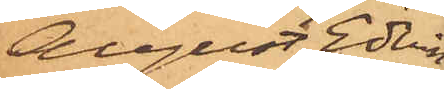August Edvin
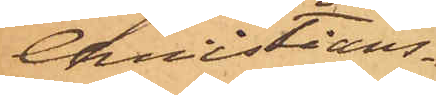Christians¬
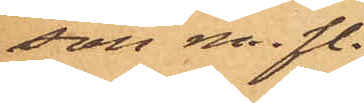son m. fl.
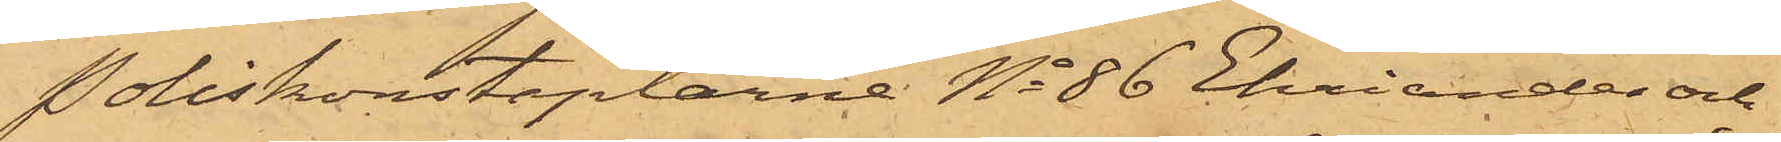Poliskonstaplarne No 86 Ehriander och
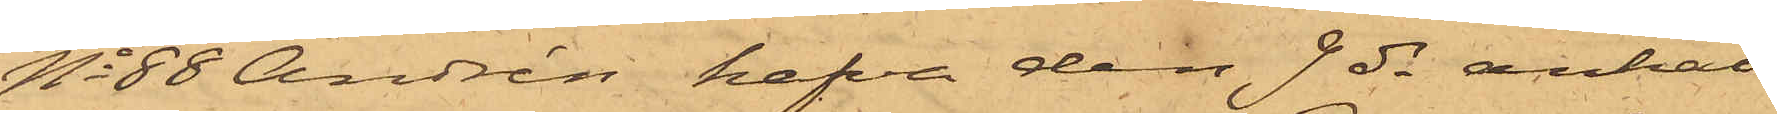No 88 Andrén hafva den 7 ds anhål¬
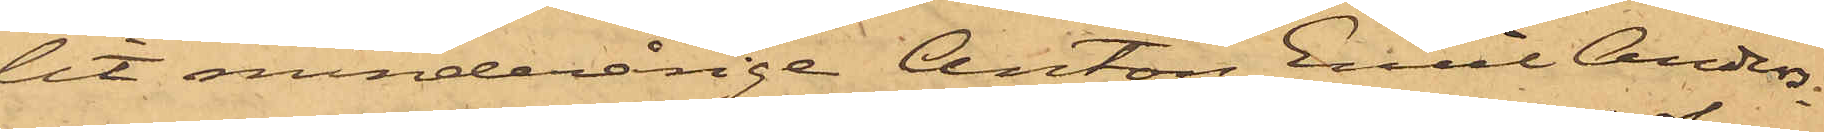lit minderårige Anton Emil Anders¬
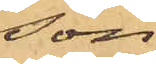son,
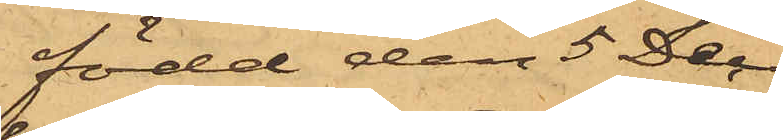född den 5 Dec
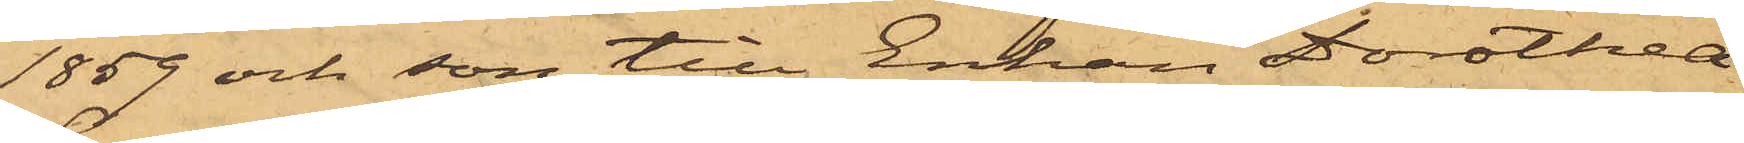1859 och son till Enkan Dorothea
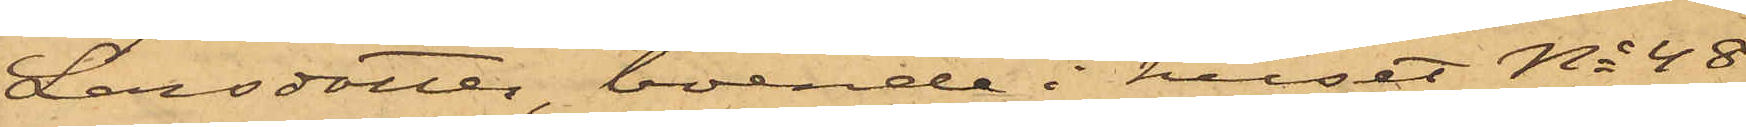Larsdotter, boende i huset No 48,
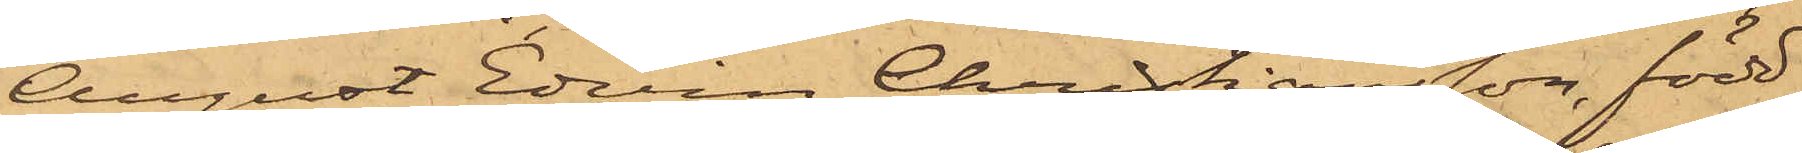August Edvin Christiansson, född
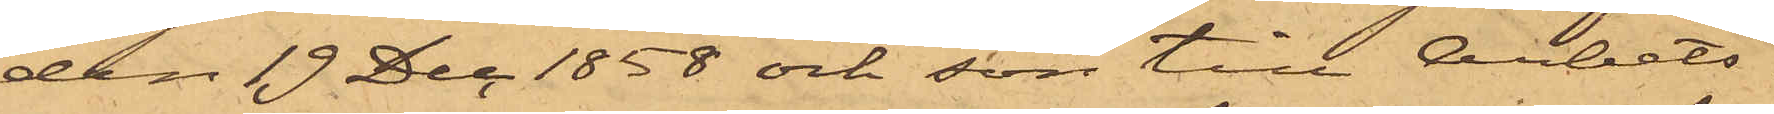den 19 Dec. 1858 och son till Arbets¬
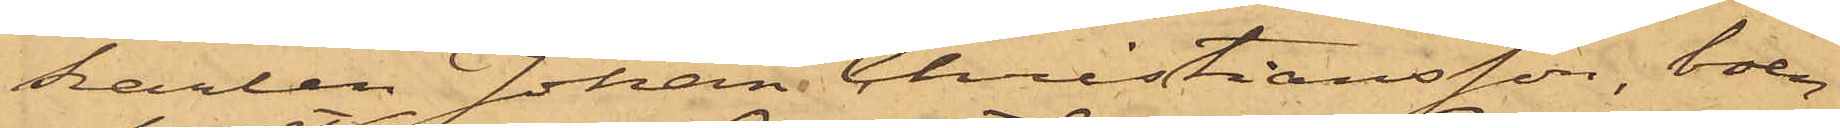karlen Johan Christiansson, boen¬
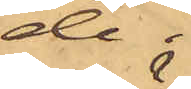de i
